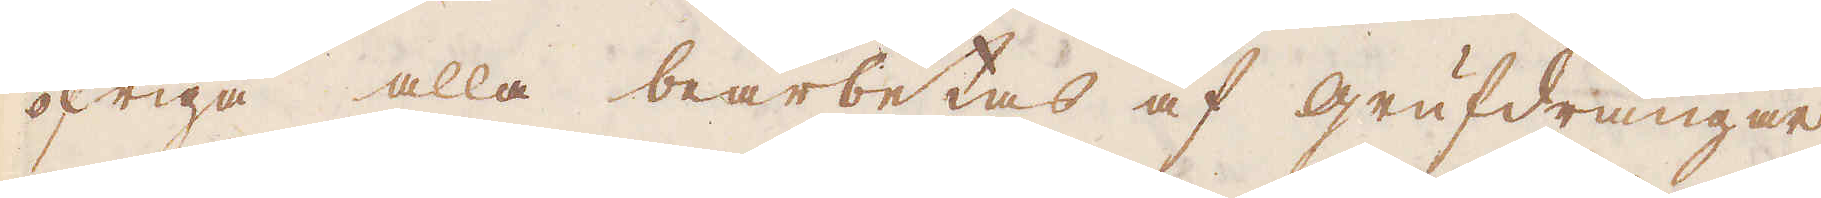öfriga alla bearbetas af grufdrängar,
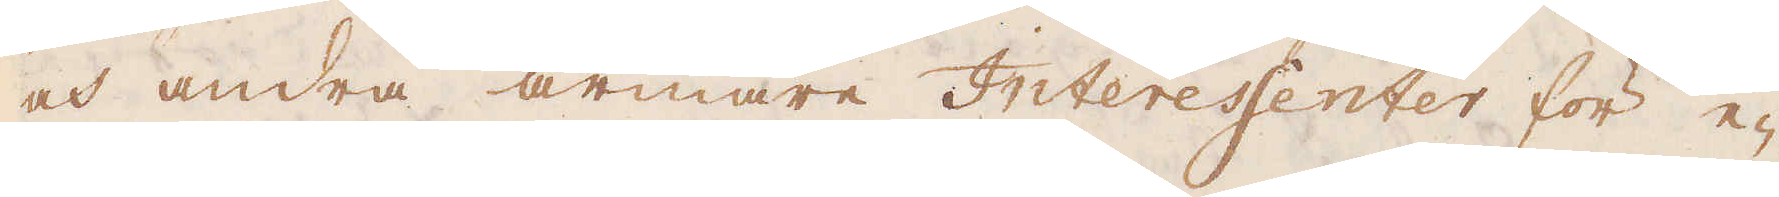och andra armare Interessenter för e-
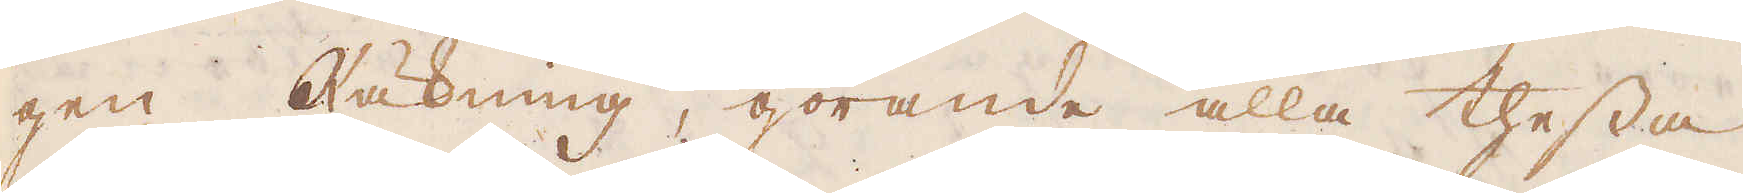gen Räkning, görande alla thessa
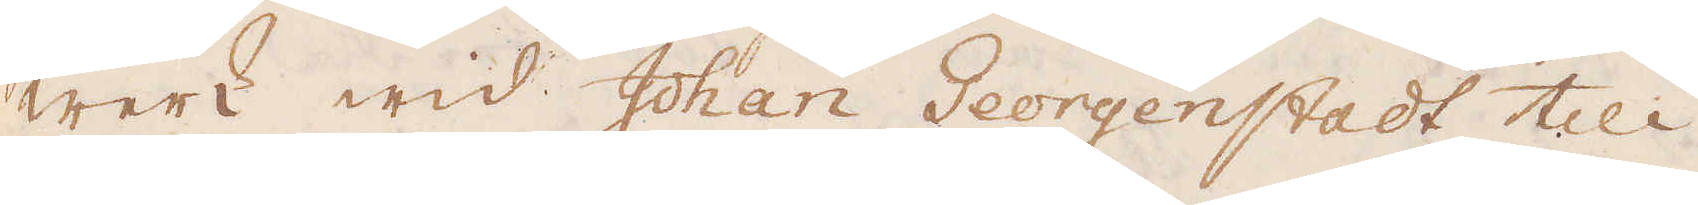werk wid Johan Georgenstadt till
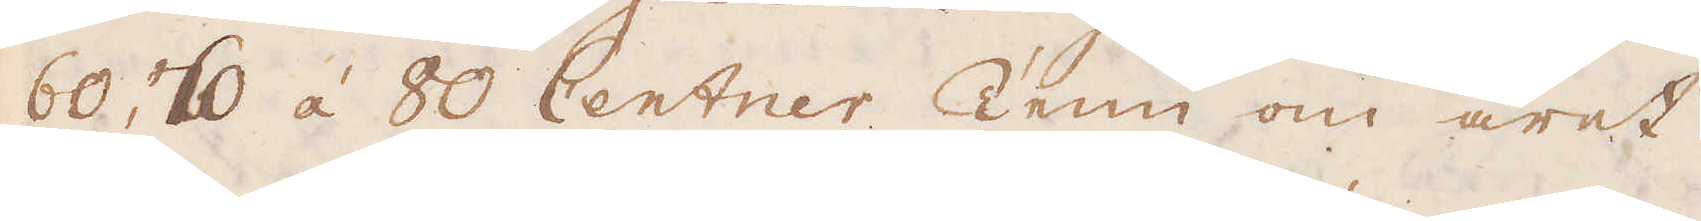60, 70 á 80 Centner Tenn om året.
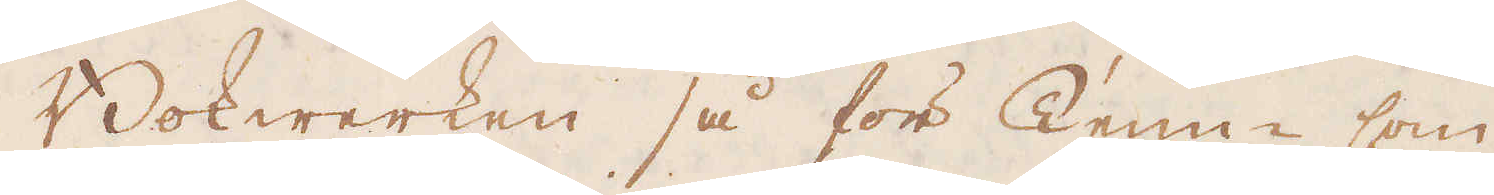Bokwerken så för Tenn- som
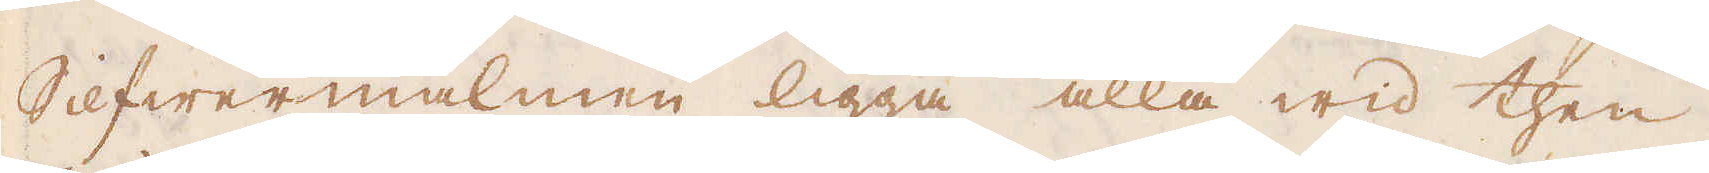Silfwermalmen ligga alla wid then
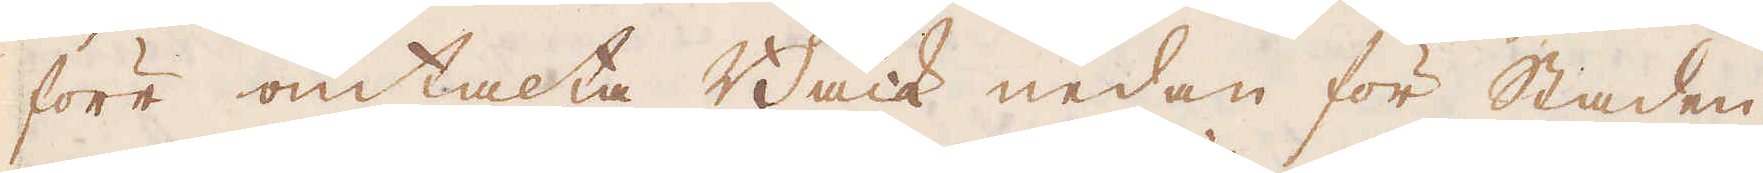förr omtalta Bäck nedan för Staden,
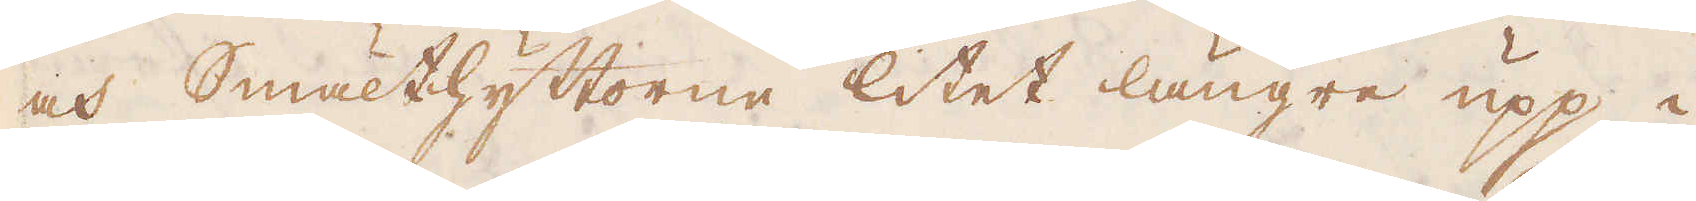och Smälthyttorne litet längre upp i
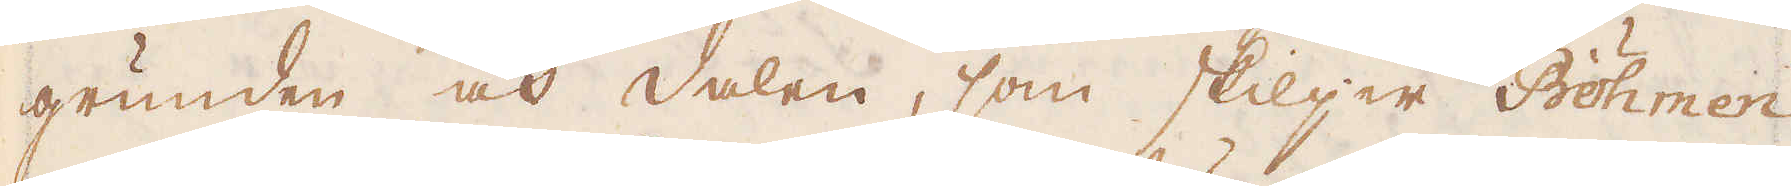grunden och dalen, som skiljer Böhmen
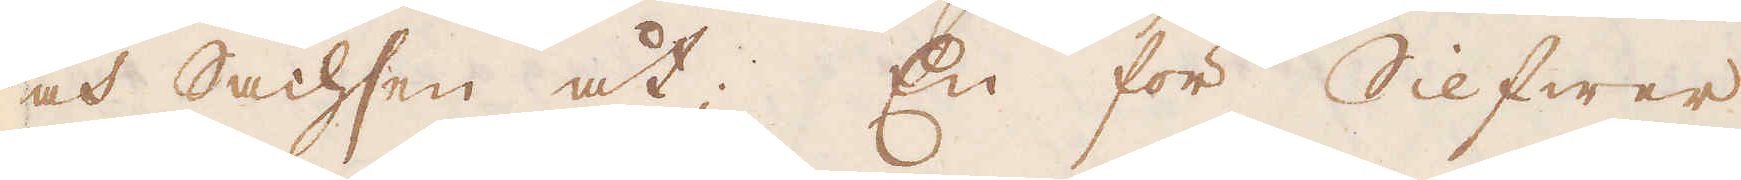och Sachsen åt; En för Silfwer
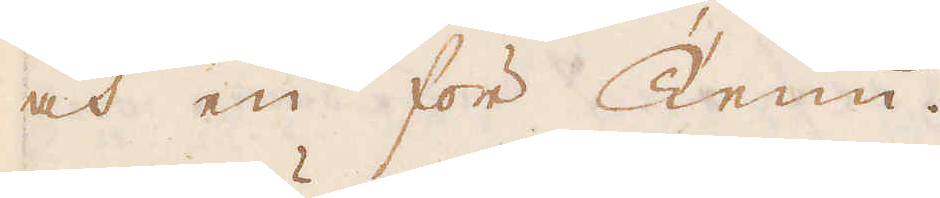och en för Tenn.
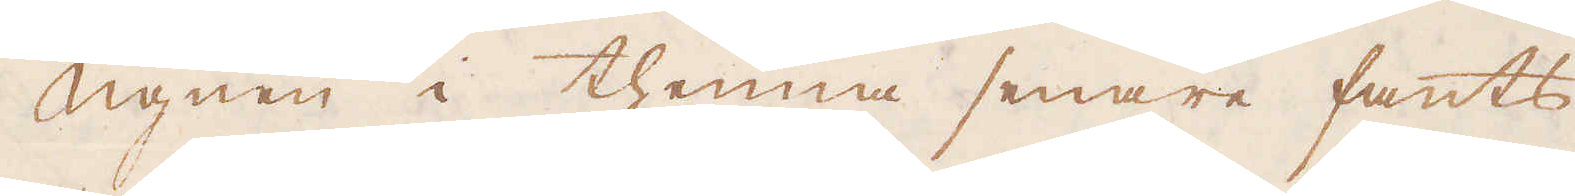Ugnen i thenna senare fants
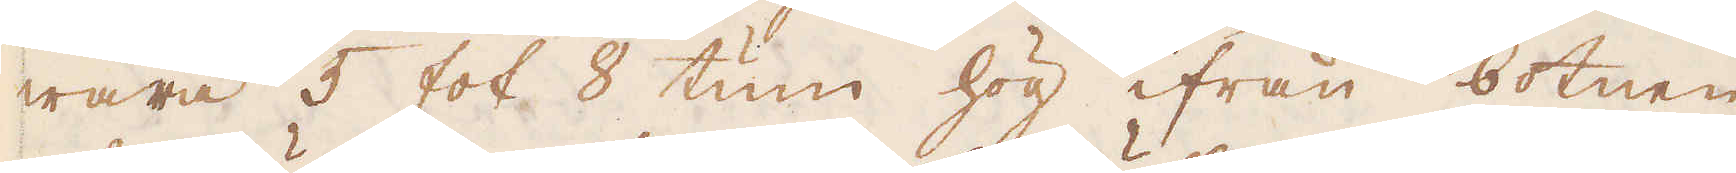wara 5 fot 8 tum hög ifrån botnen
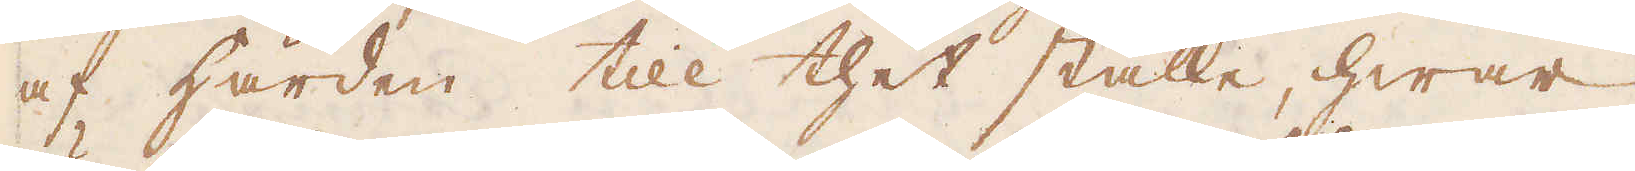af härden till thet ställe, hwar
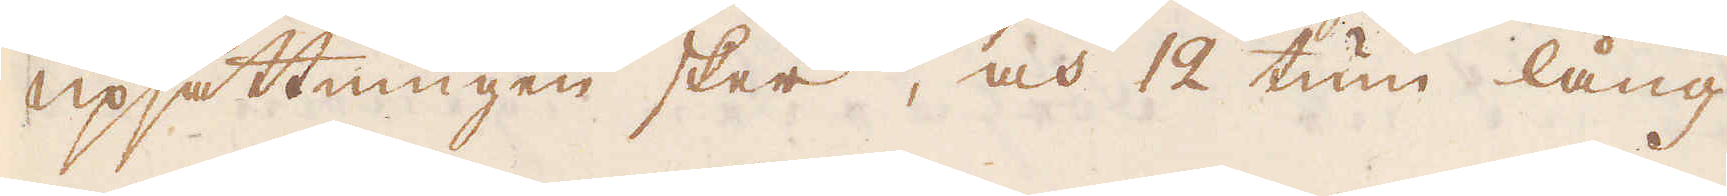upsättningen sker, och 12 tum lång
